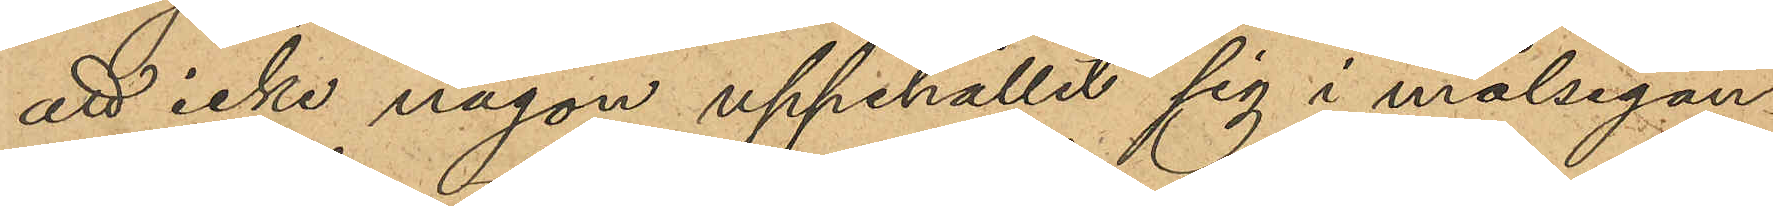att icke någon uppehållit sig i målsegan¬
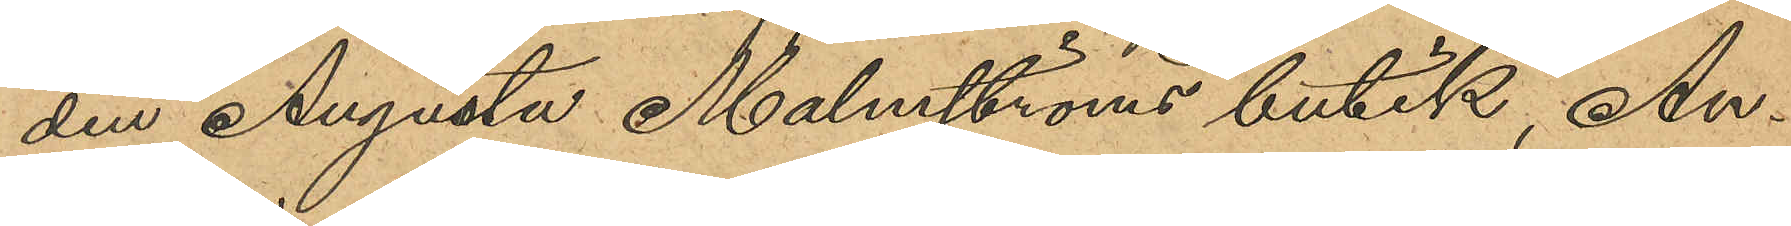den Augusta Malmströms butik, An¬
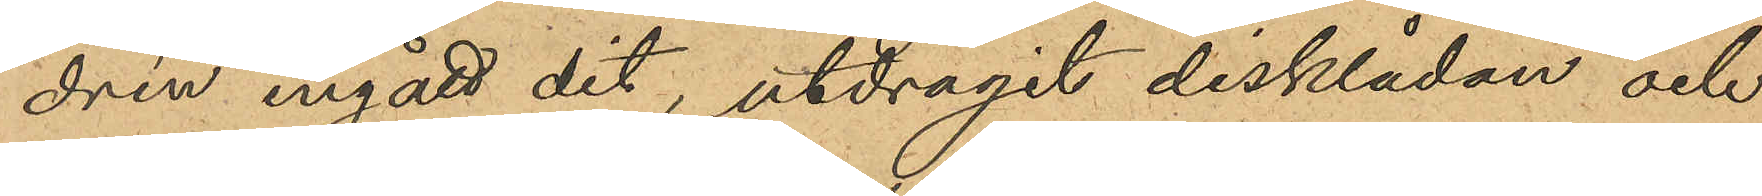drén ingått dig, utdragit disklådan och
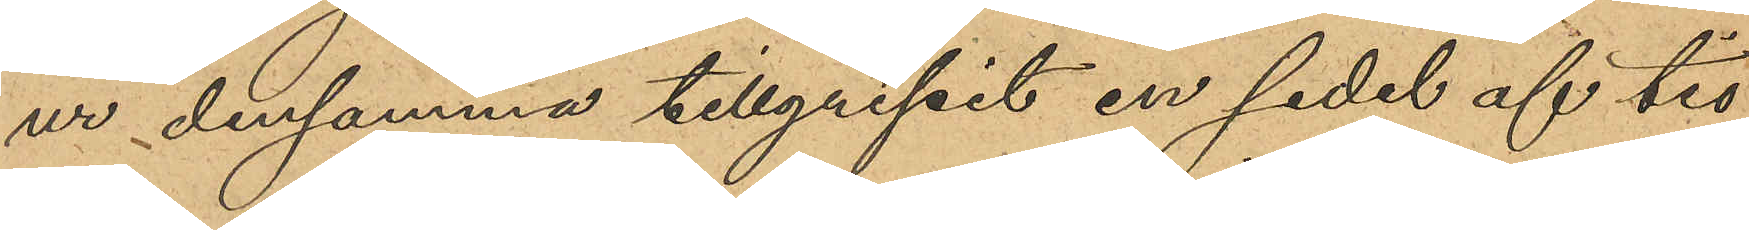ur densamma tillgripit en sedel af tio
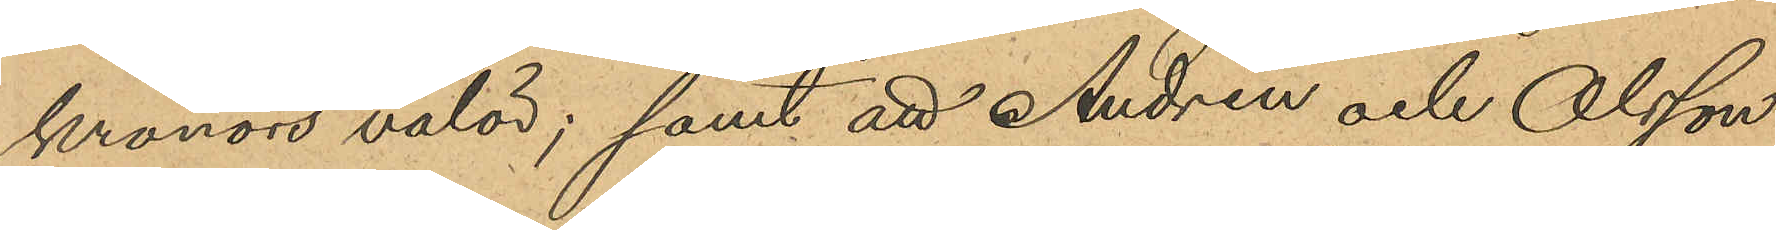kronors valör; samt att Andrén och Olsson
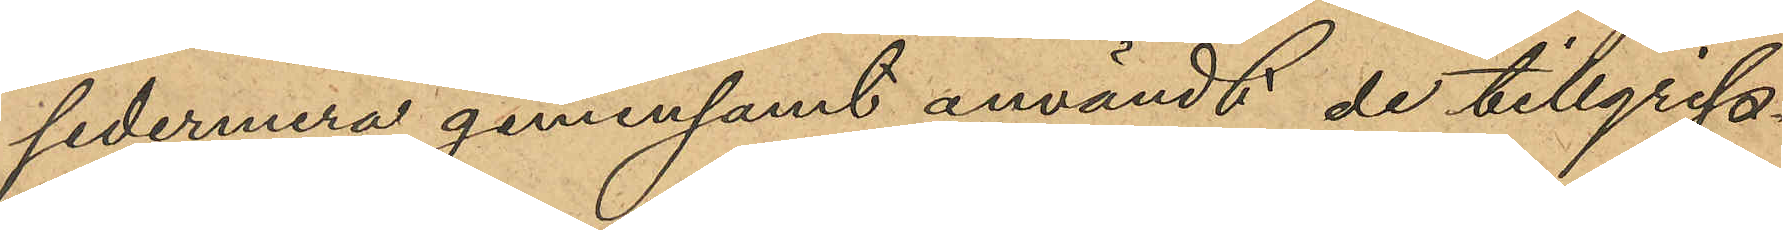sedermera gemensamt användt de tillgrip¬
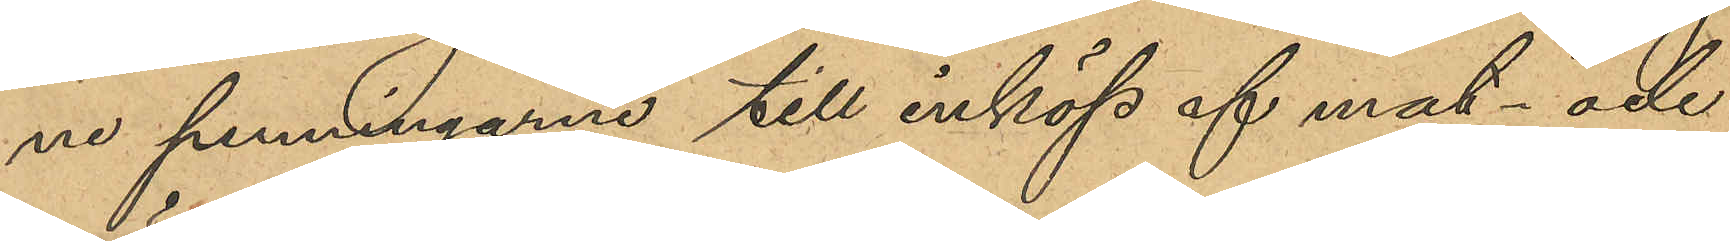ne penningarne till inköp af mat- och
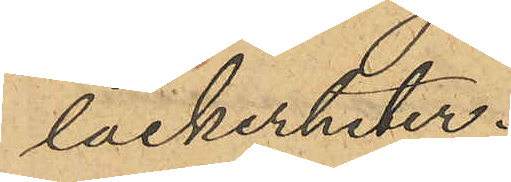läckerheter.
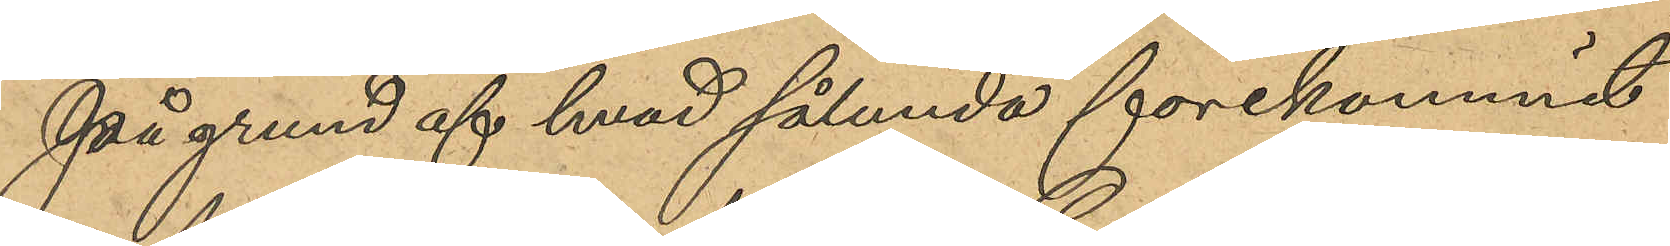På grund af hvad sålunda förekommit
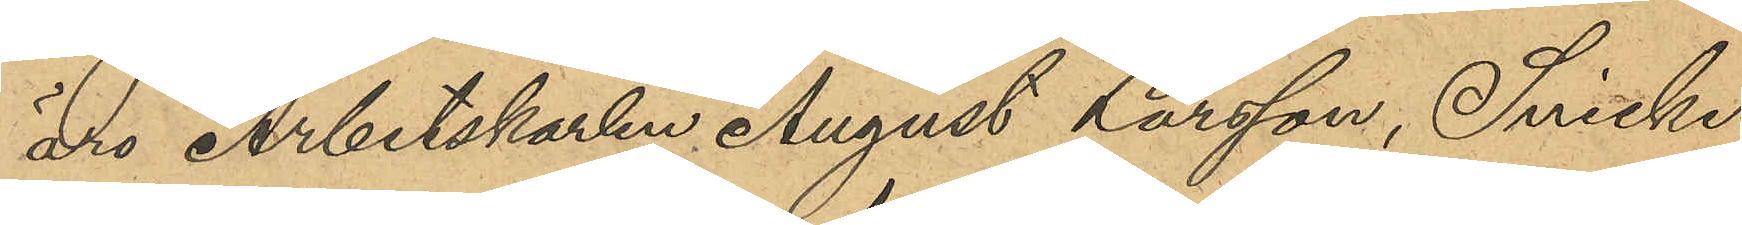äro Arbetskarlen August Larsson, Snicke¬
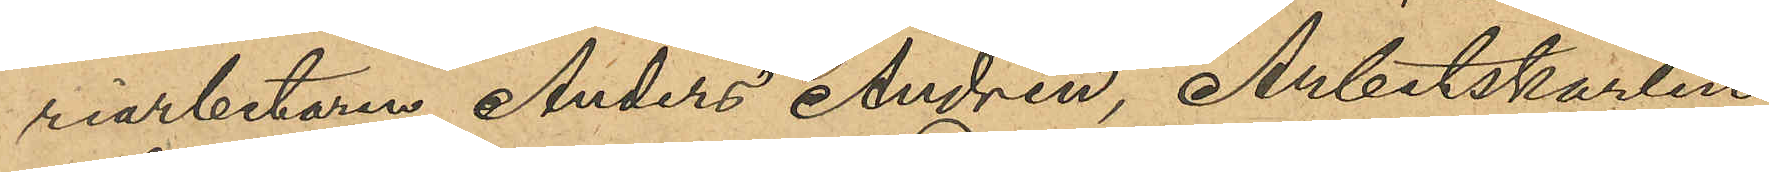riarbetaren Anders Andrén, Arbetskarlen
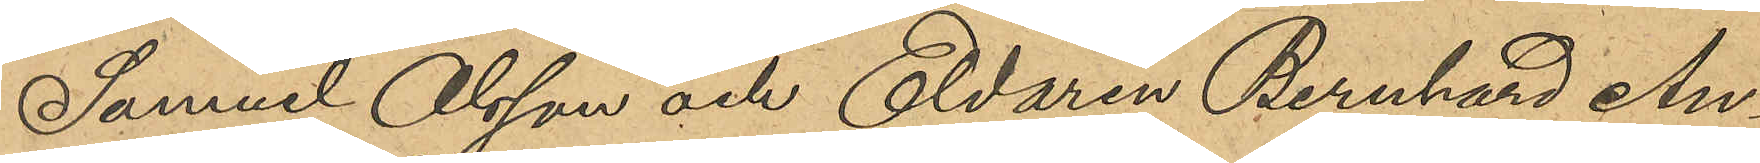Samuel Olsson och Eldaren Bernhard An¬
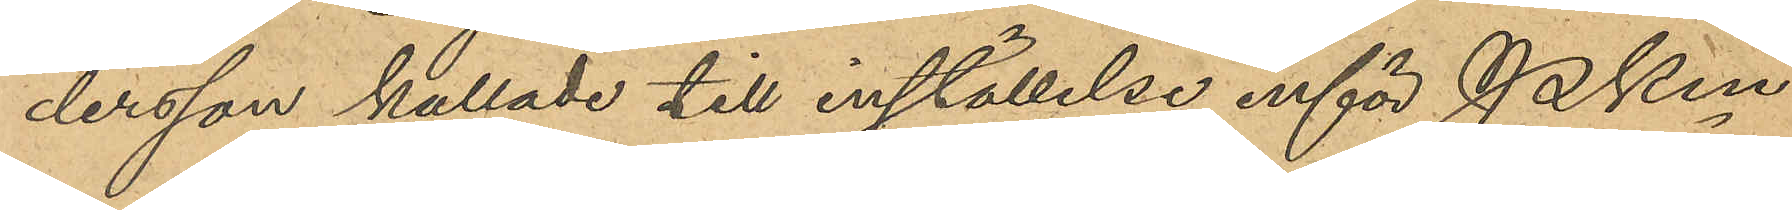dersson kallade till inställelse inför PKn
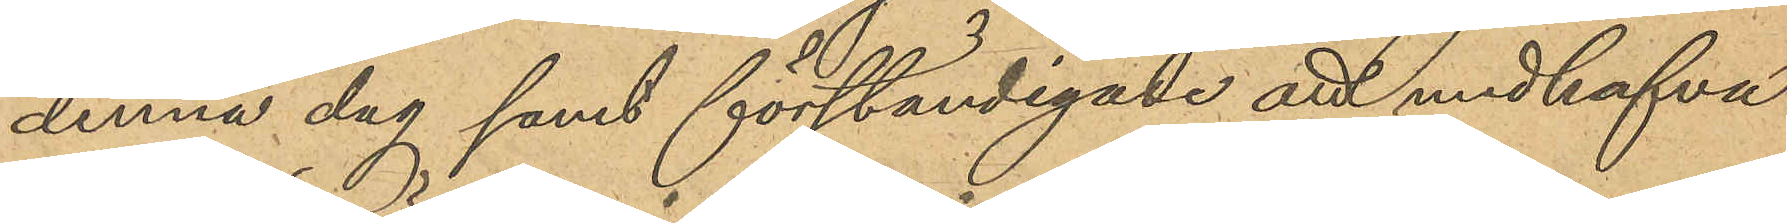denna dag samt förständigade att medhafva
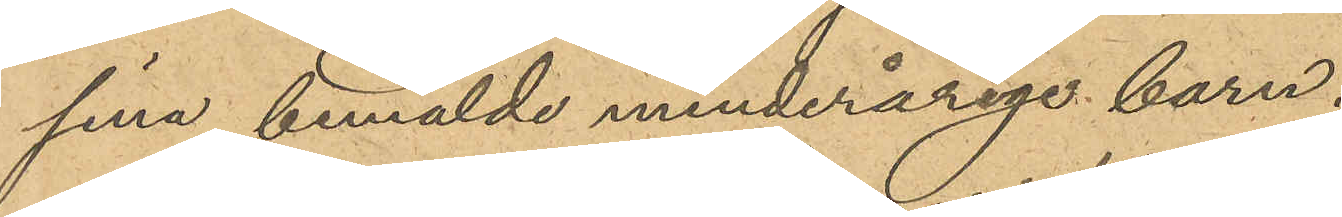sina bemälde minderårige barn.
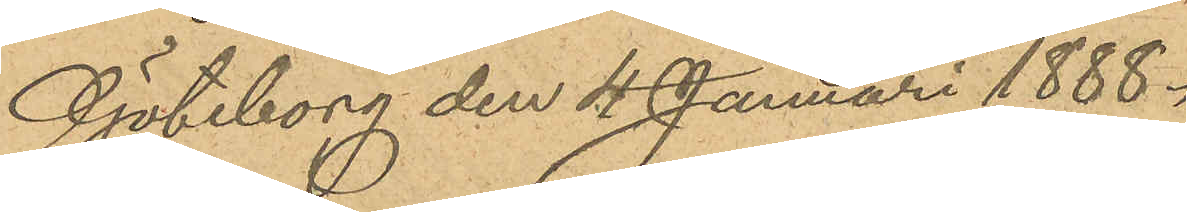Göteborg den 4 Januari 1888.
